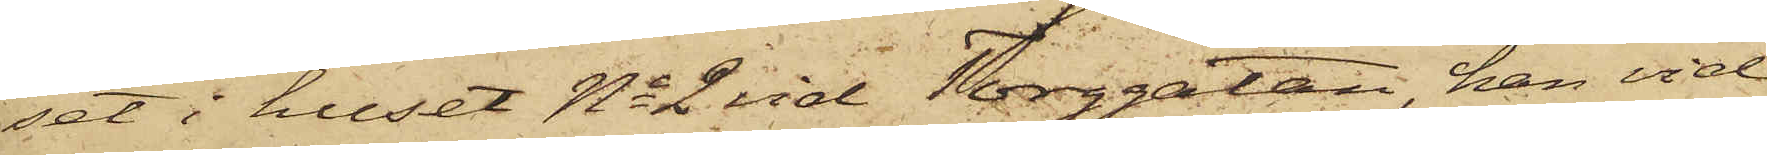set i huset No 2 vid Torggatan, han vid
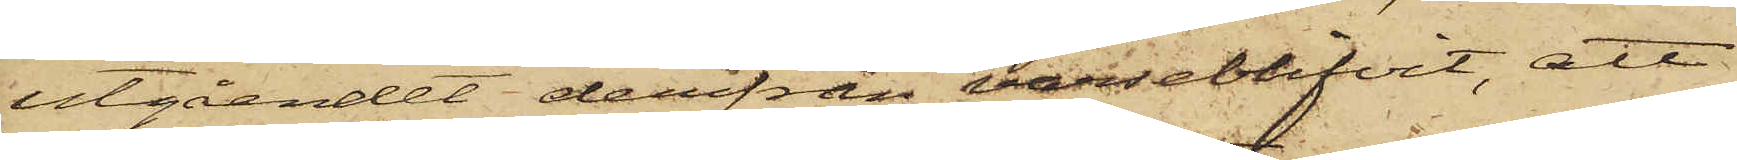utgåendet derifrån varseblifvit, att
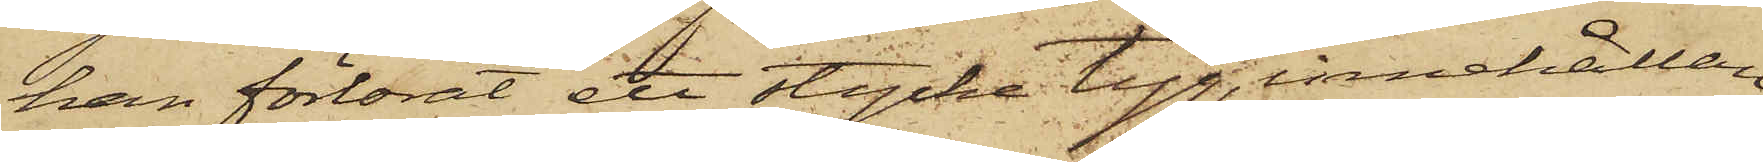han förlorat ett stycke tyg, innehållan¬
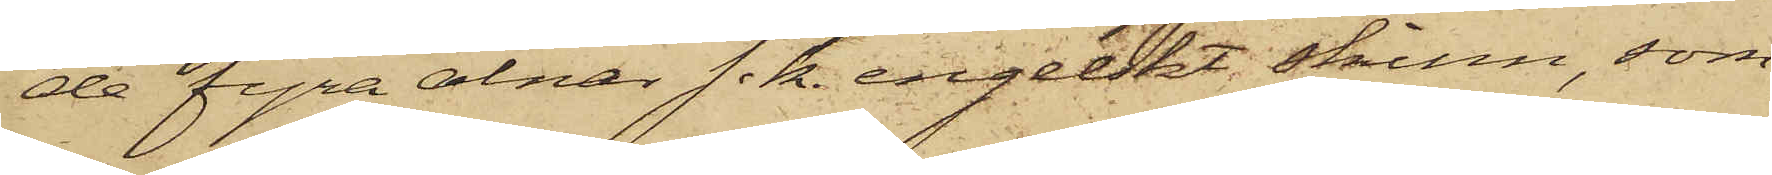de fyra alnar s.k. engelskt skinn, som
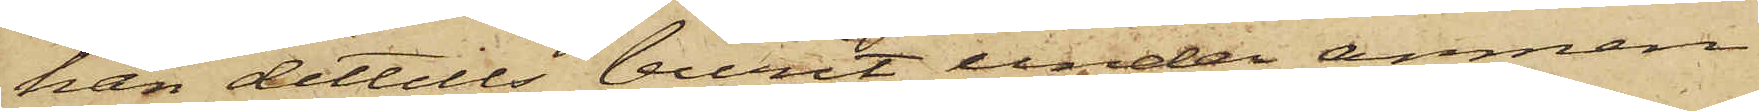han dittills burit under armen
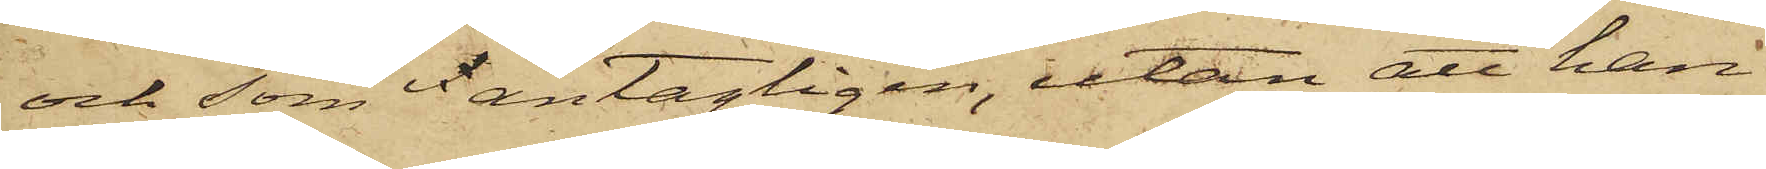och som antagligen, utan att han
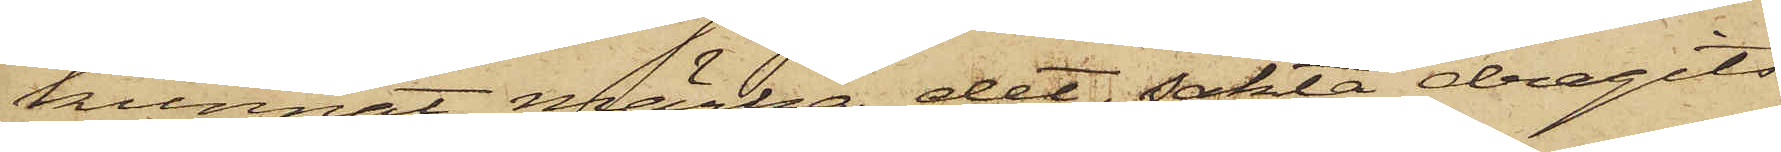kunnat märka det, sakta dragits
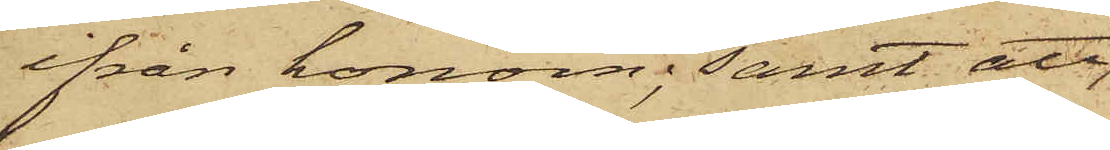ifrån honom; samt att
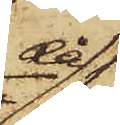då
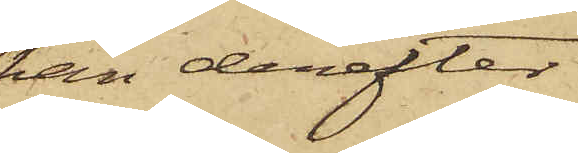han derefter
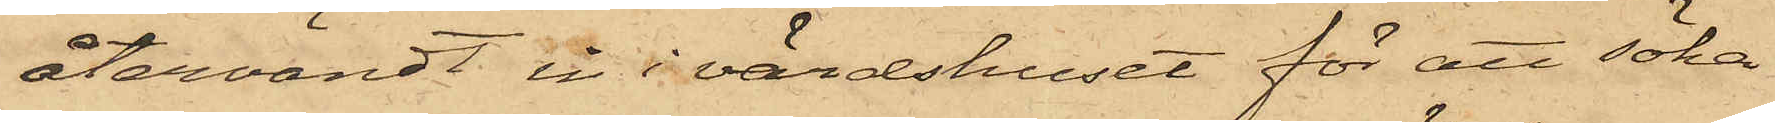återvändt in i värdshuset för att söka
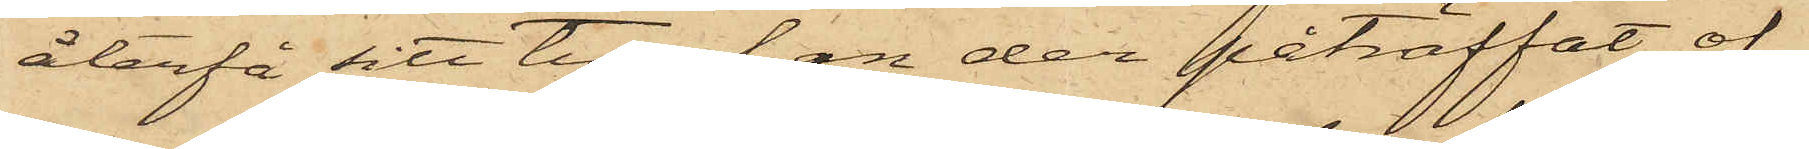återfå sitt tyg, han der påträffat of¬
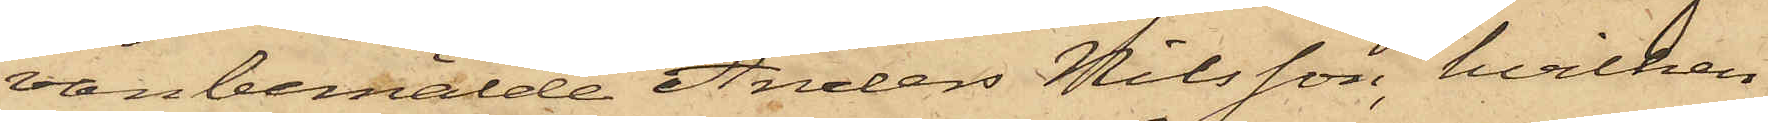vanbemälde Anders Nilsson, hvilken
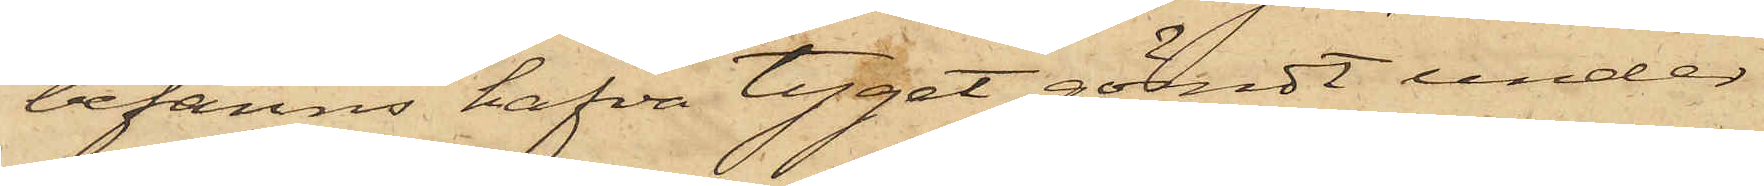befanns hafva tyget gömdt under
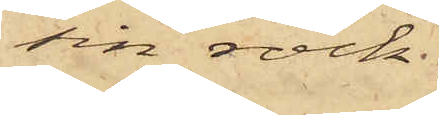sin rock.
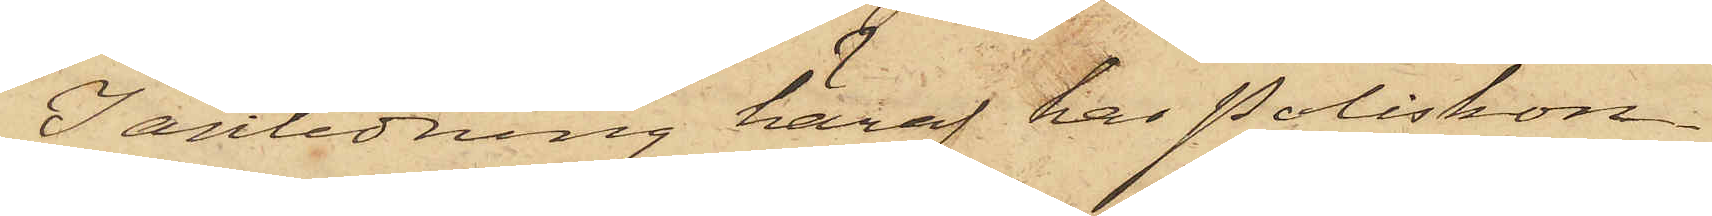I anledning häraf har Poliskon¬
